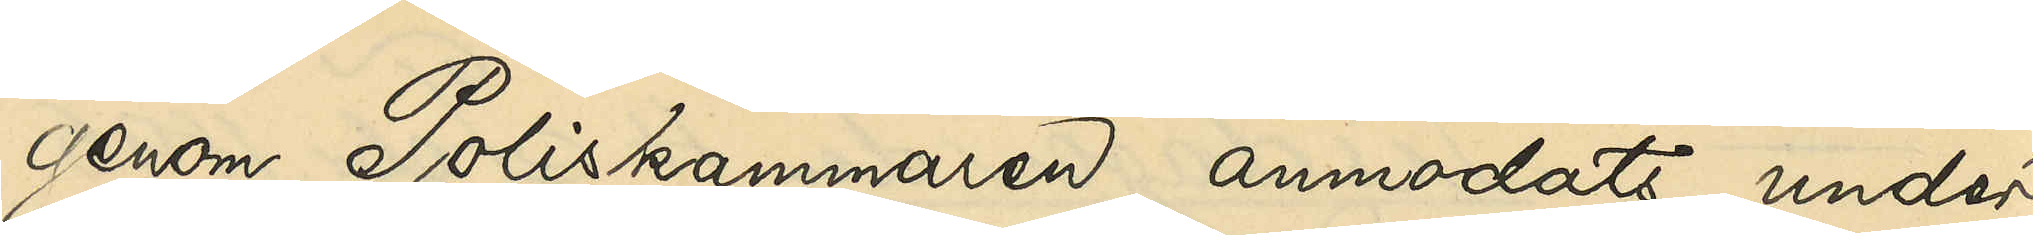genom Poliskammaren anmodats under¬
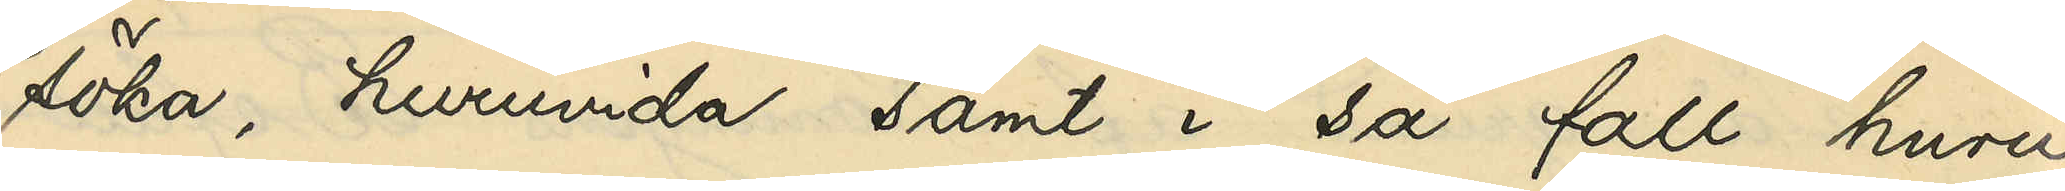söka, huruvida samt i så fall huru
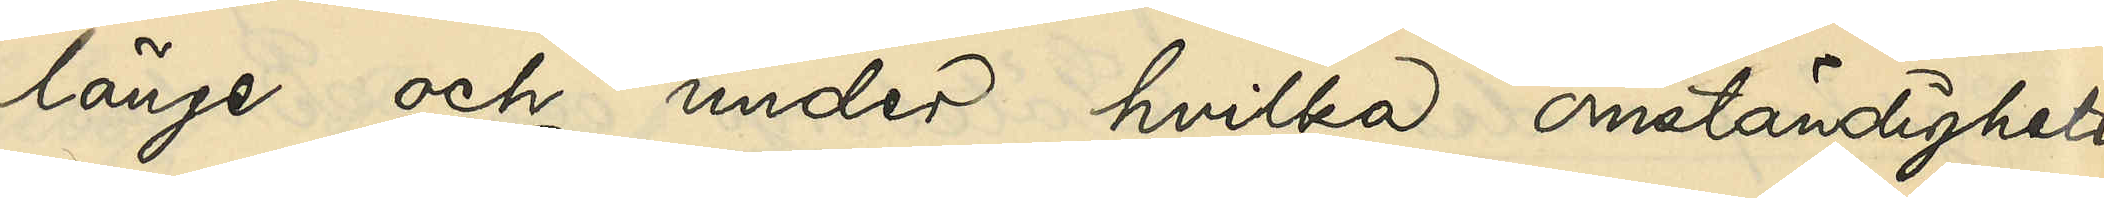länge och under hvilka omständigheter
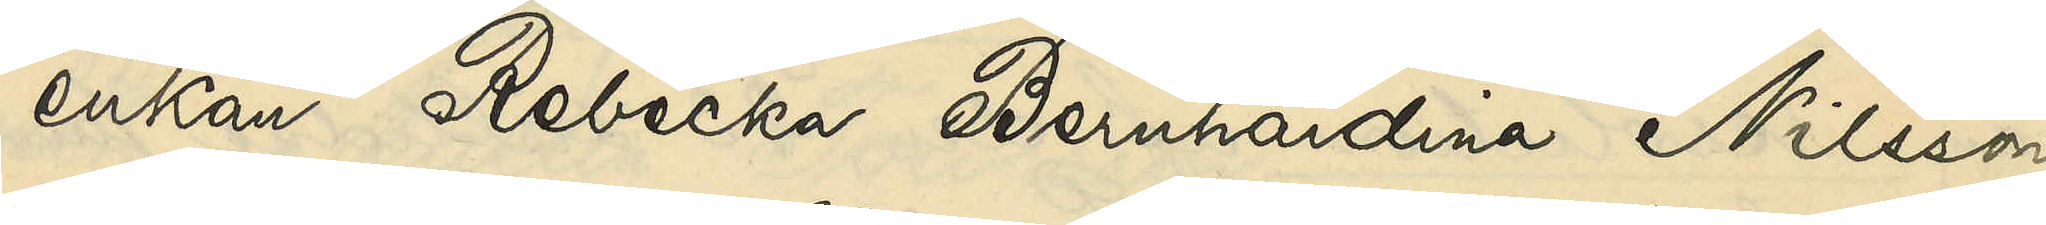enkan Rebecka Bernhardina Nilsson
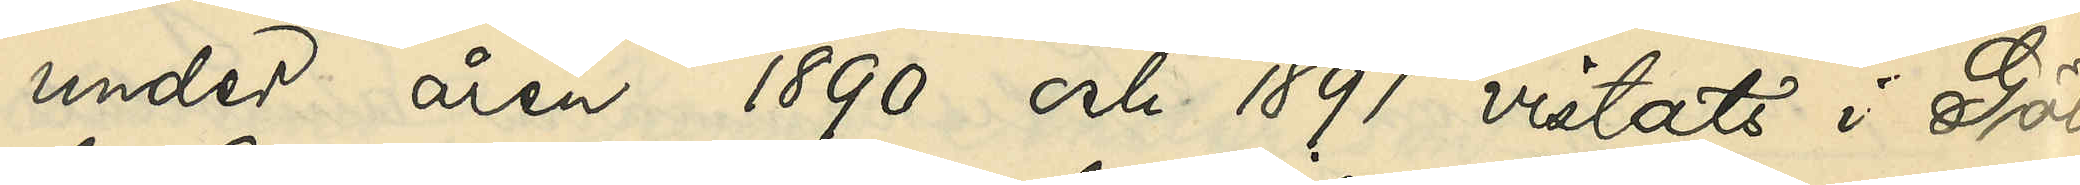under åren 1890 och 1891 vistats i Göte¬
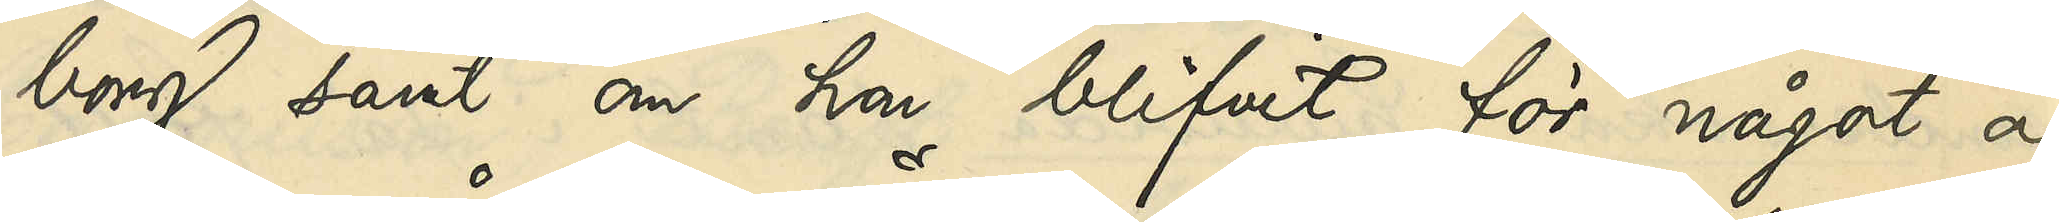borg samt om hon blifvit för något af
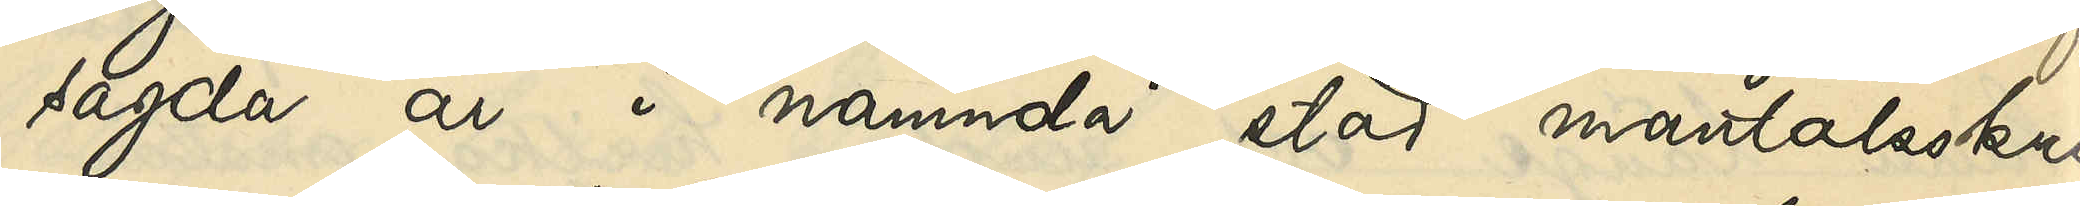sagda år i nämnda stad mantalsskrif¬
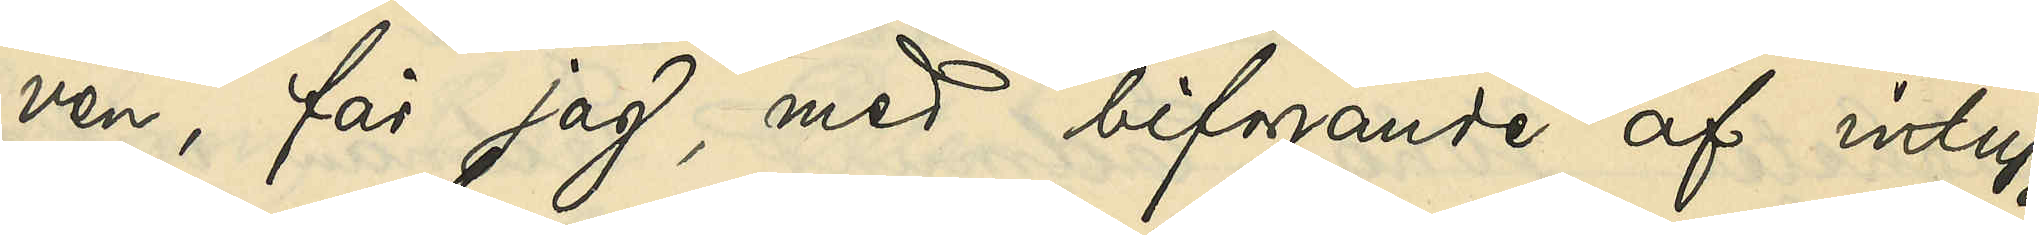ven, får jag, med bifogande af intyg
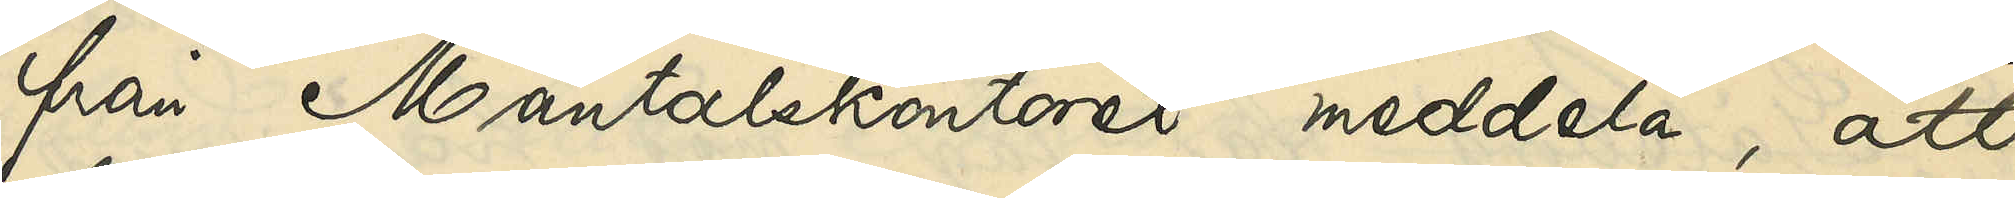från Mantalskontoret meddela, att
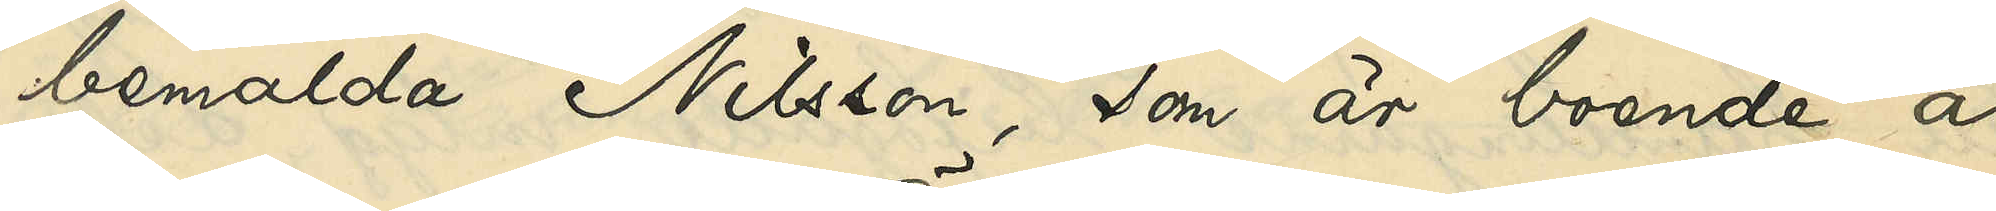bemälda Nilsson, som är boende å
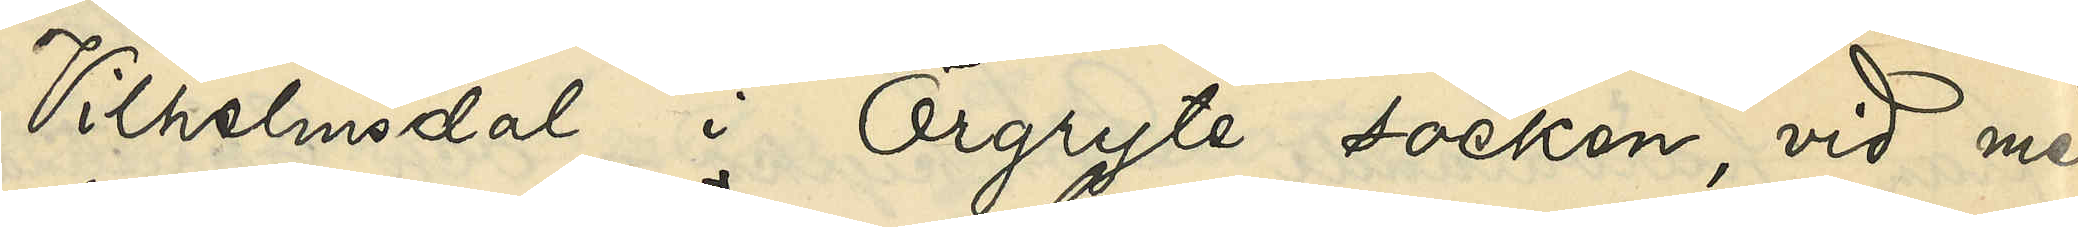Vilhelmsdal i Örgryte socken, vid med
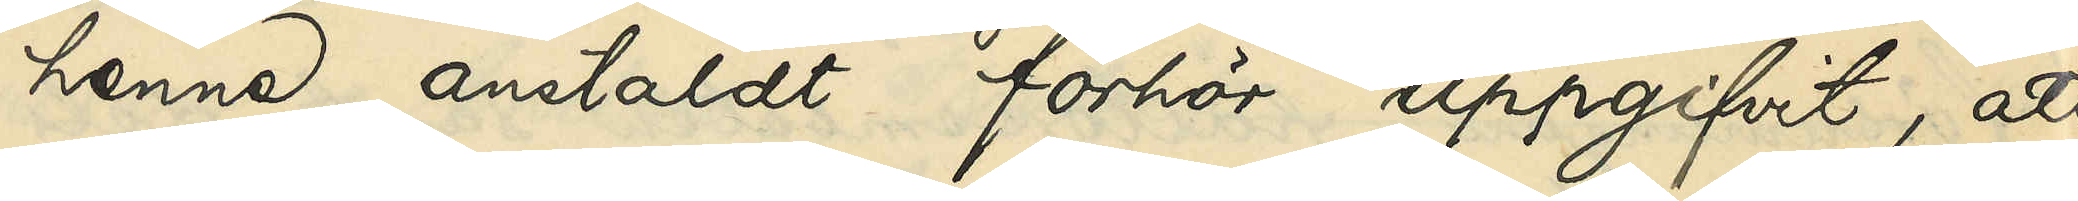henne anstäldt förhör uppgifvit, att
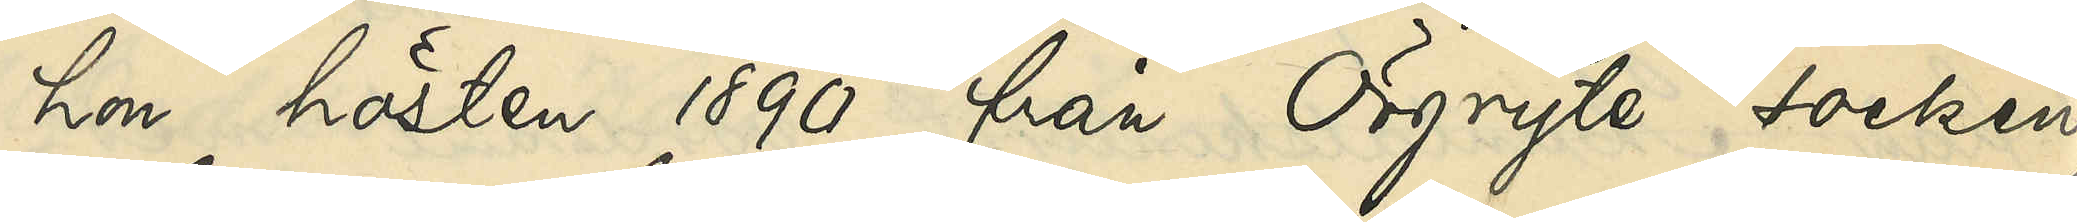hon hösten 1890 från Örgryte socken
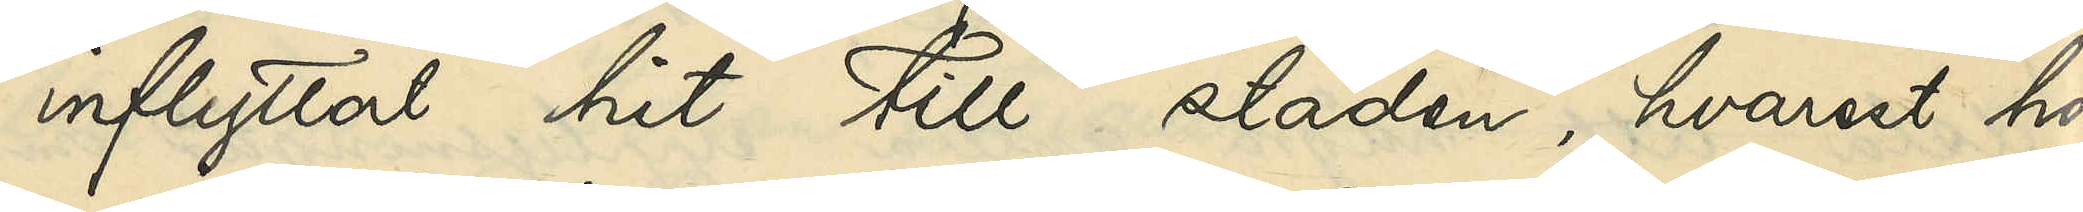inflyttat hit till staden, hvarest hon
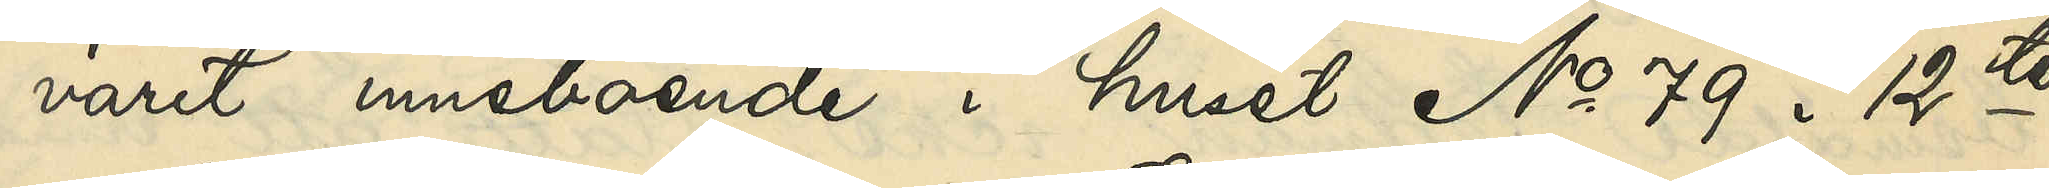varit inneboende i huset No 79 i 12te
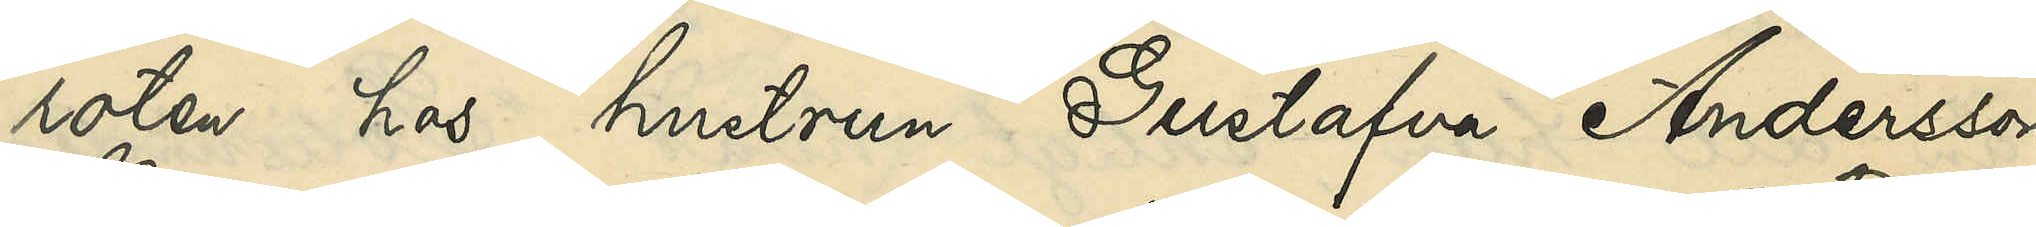roten hos hustrun Gustafva Andersson
